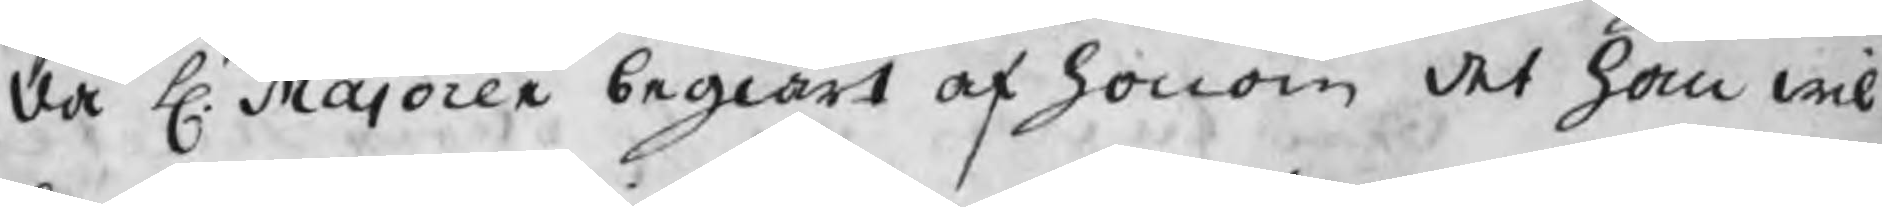då H. Majoren begiärt af honom det han wil¬
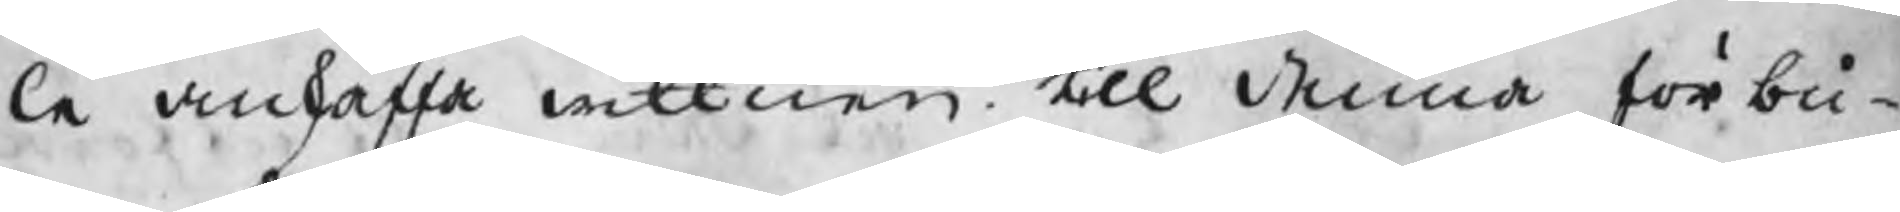le anskaffa wittnen till denna förbu¬
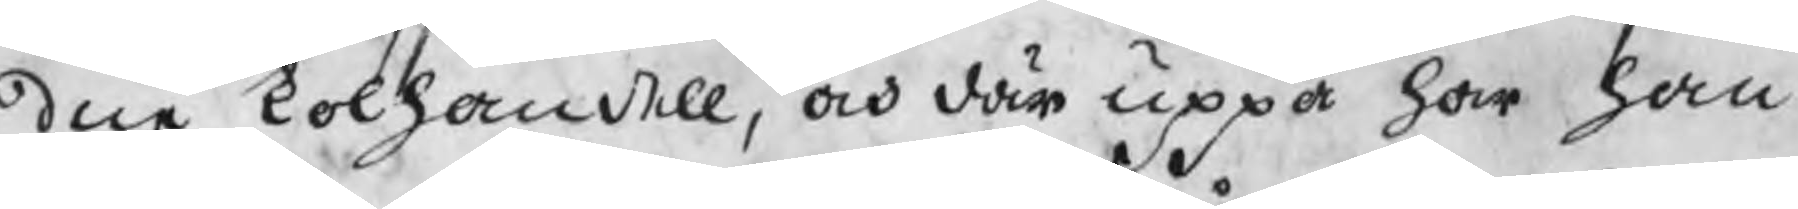dne kolhandell, och där uppå har han
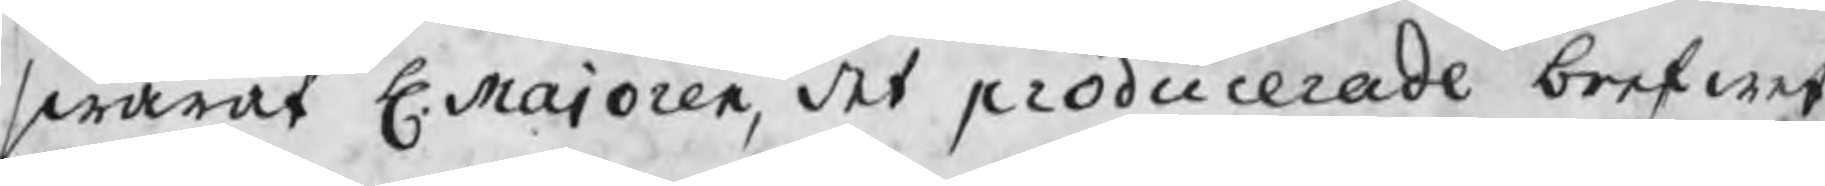swarat H. Majoren, det producerade brefwet
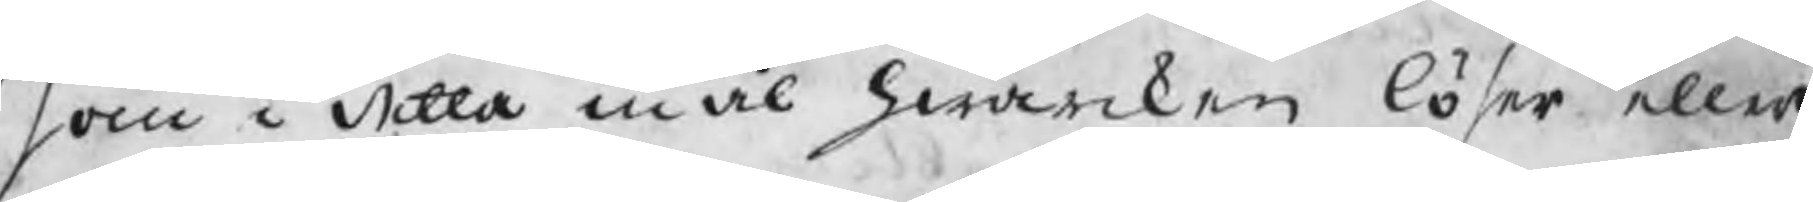som i detta mål hwarcken löser eller
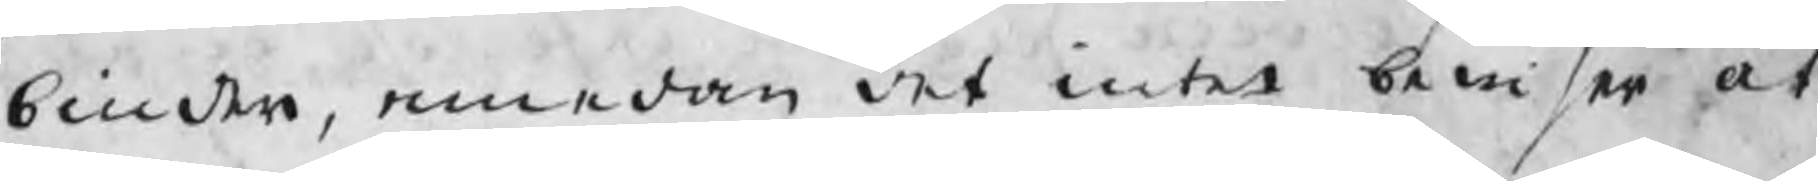binder, emedan det intet bewisar at
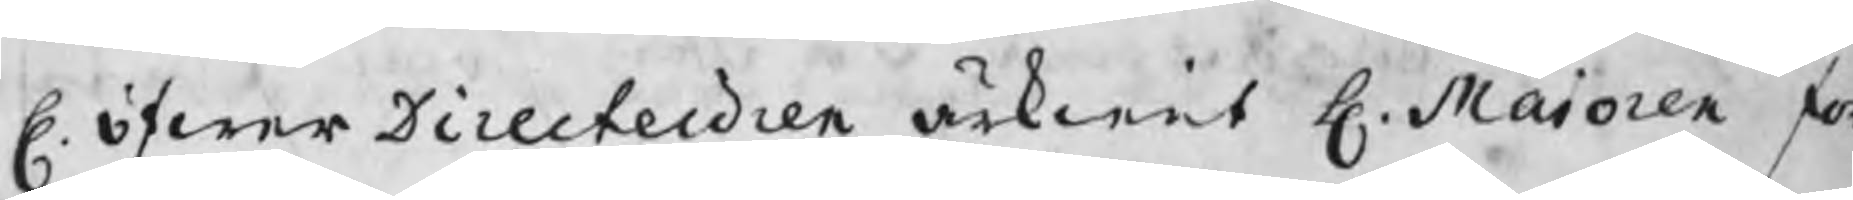H. öfwerDirecteuren ätkient H. Maioren för
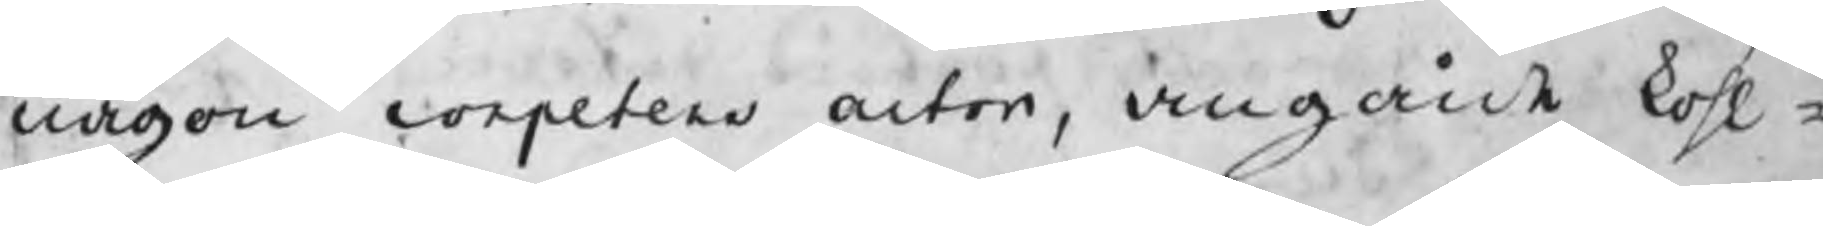någon competent actor, angående kohl¬
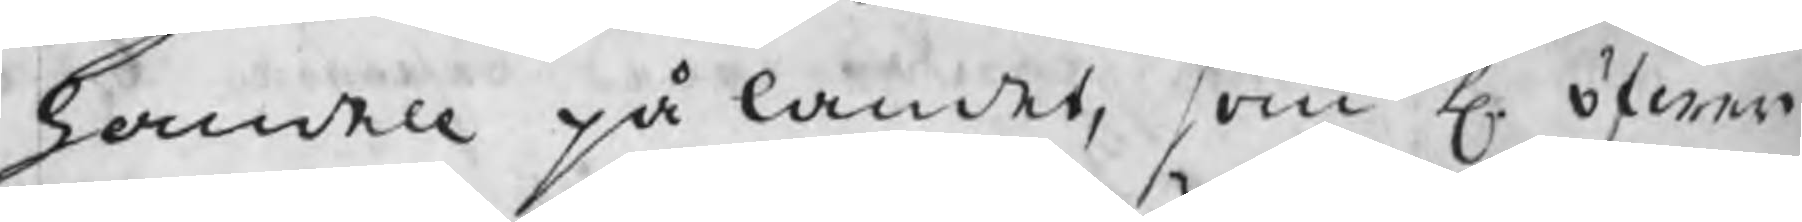handell på landet, som H. öfwer
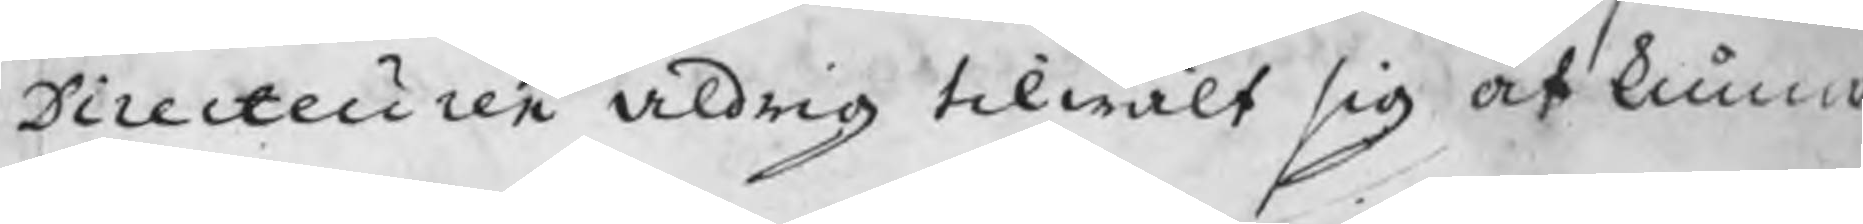Directeuren aldrig tilwält sig at kunna
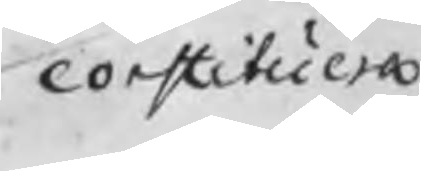constituera
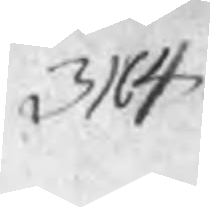314
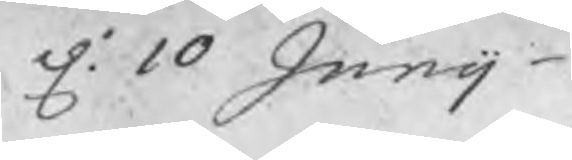d: 10 Junij
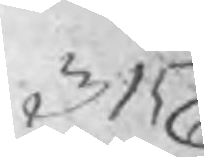315
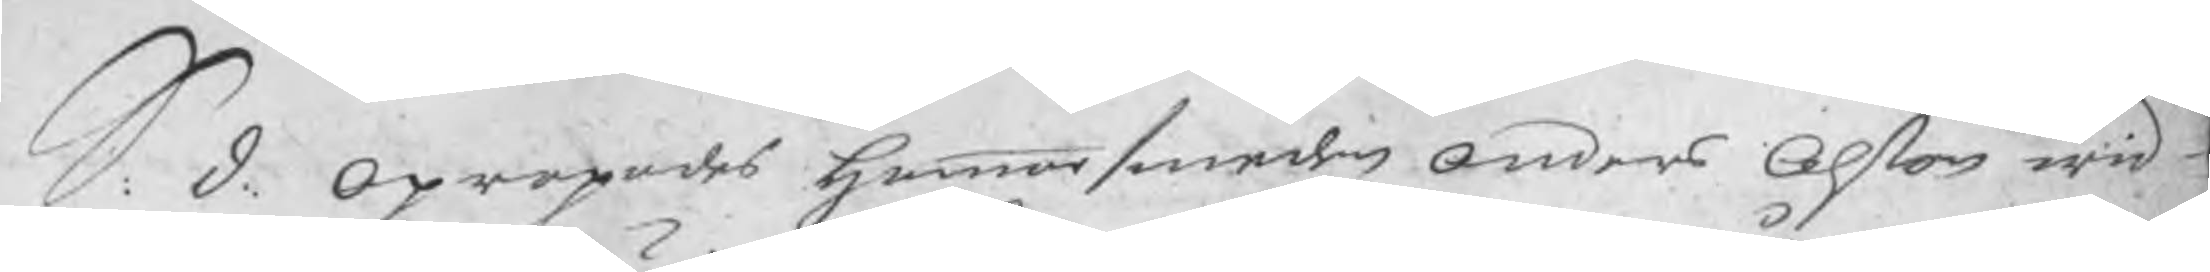S. d. Opropades hammarsmeden Anders Ohlson wid
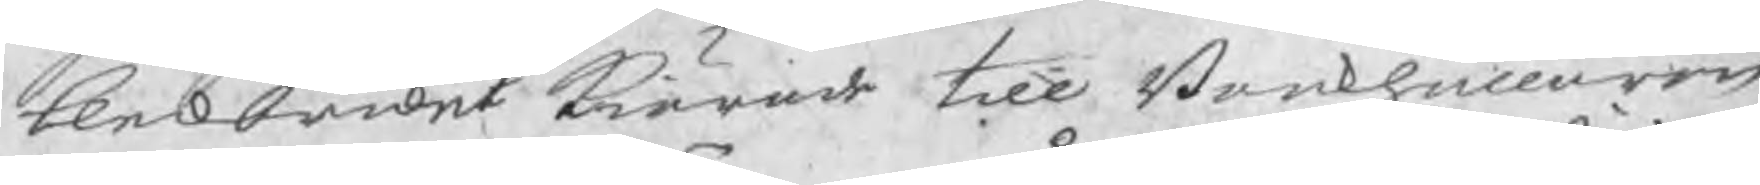blekbruket kiärade till Bookhållaren
